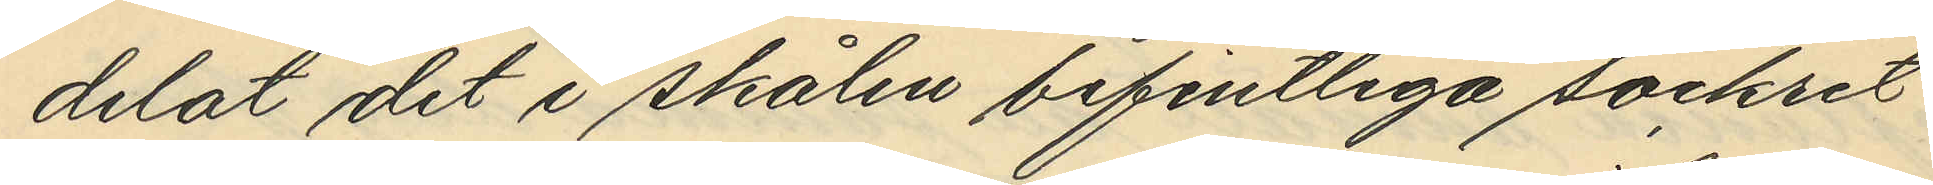delat det i skålen befintliga sockret
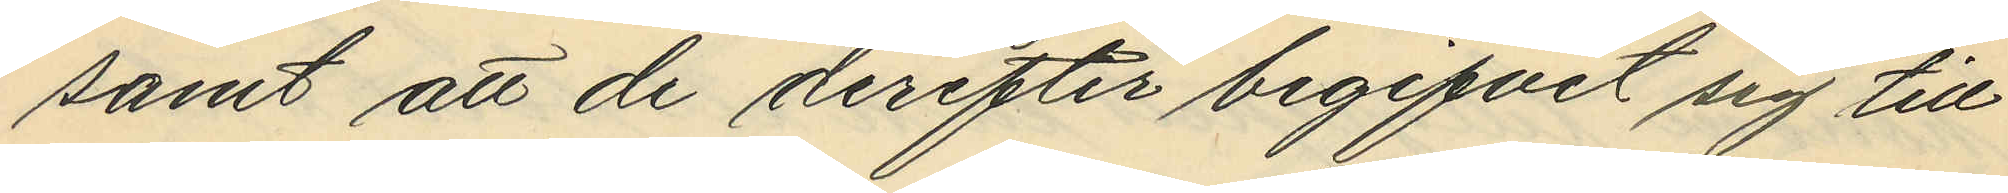samt att de derefter begifvit sig till
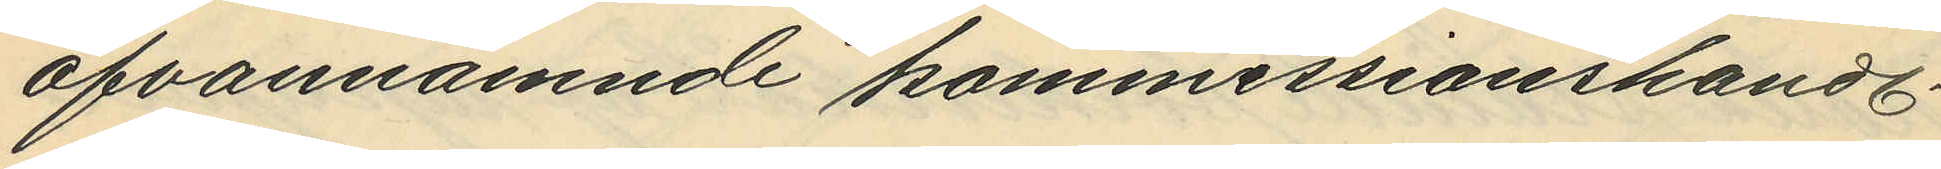ofvannämne kommissionshandl.
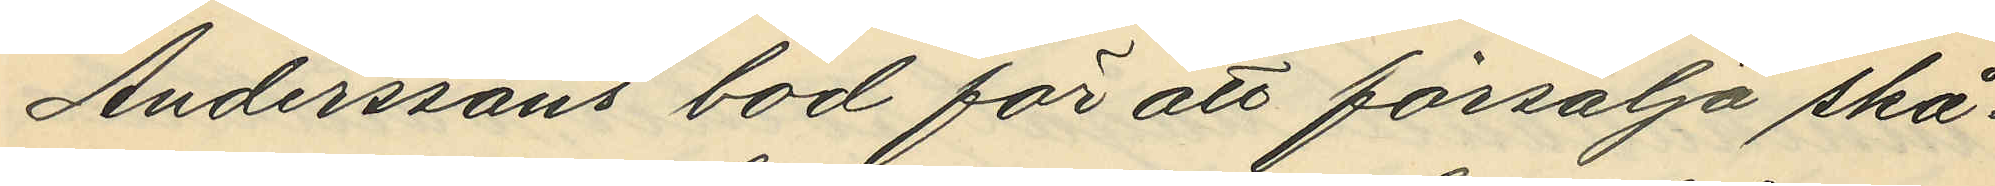Anderssons bod för att försälja skå¬
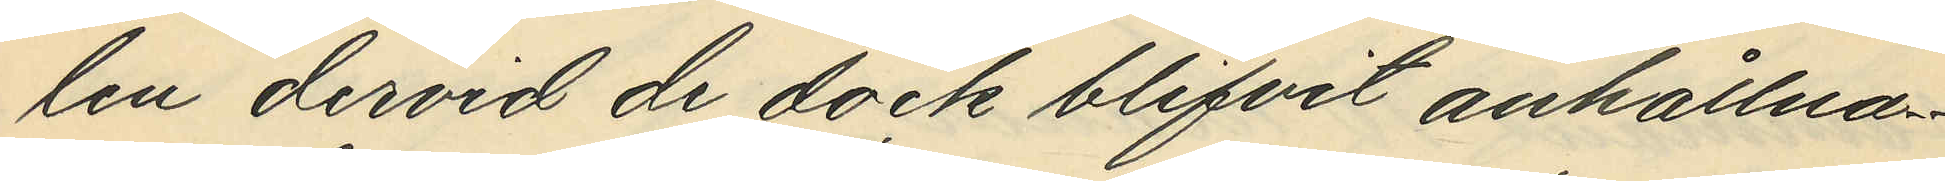len dervid de dock blifvit anhållna.
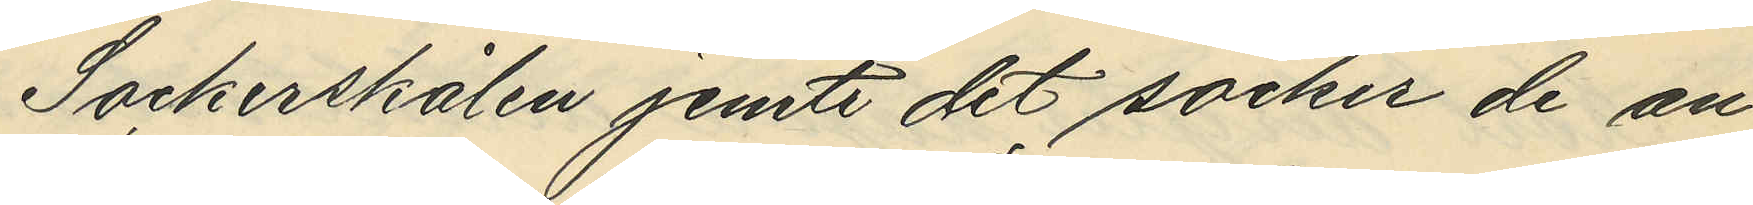Sockerskålen jemte det socker de an¬
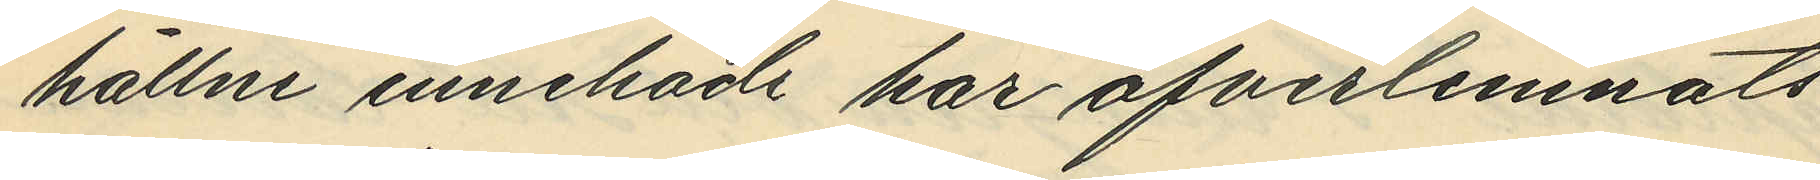hållne innehade har öfverlemnats
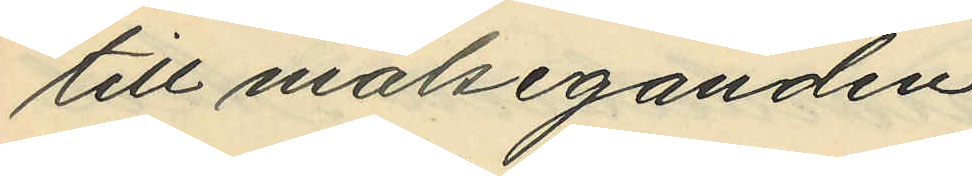till målseganden.
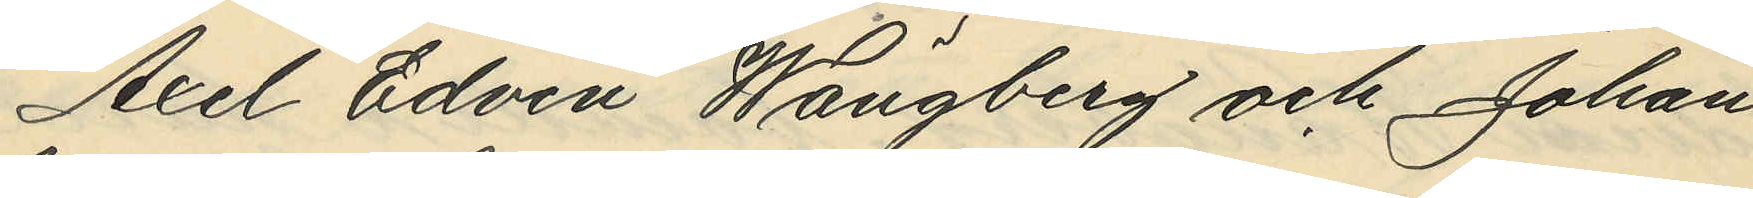Axel Edvin Wängberg och Johan
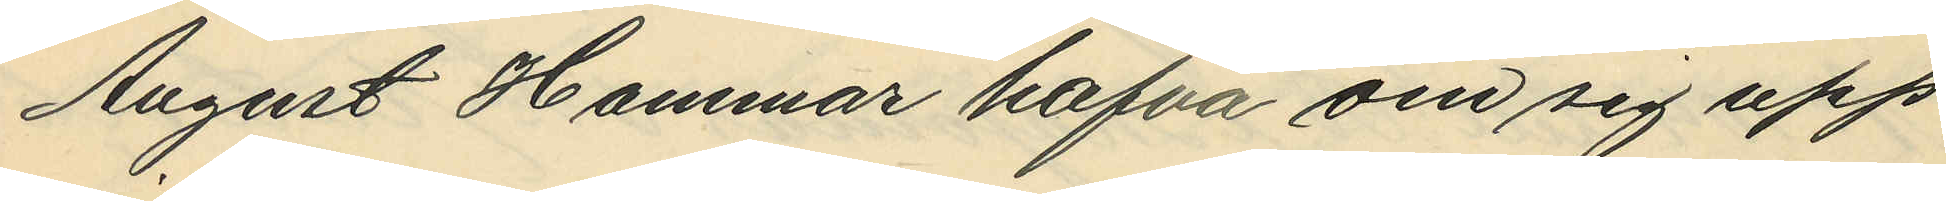August Hammar hafva om sig upp¬
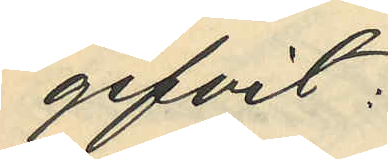gifvit:
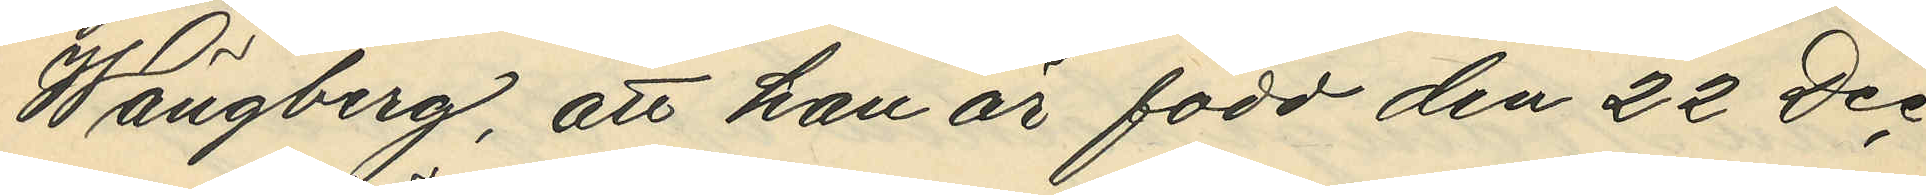Wängberg, att han är född den 22 Dec
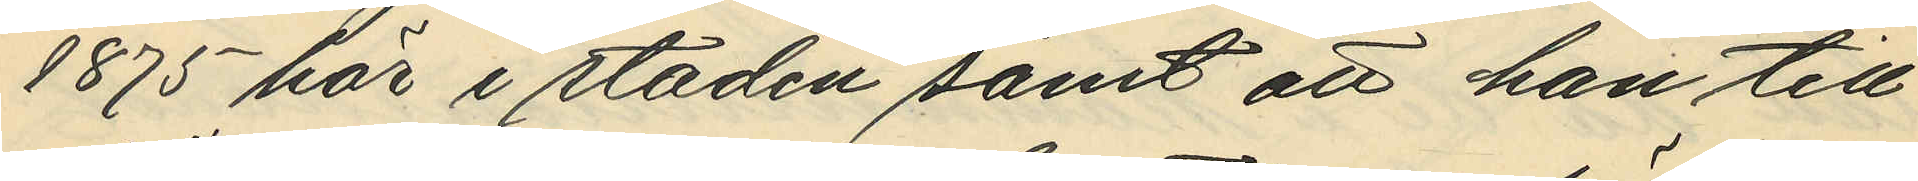1875 här i staden samt att han till¬
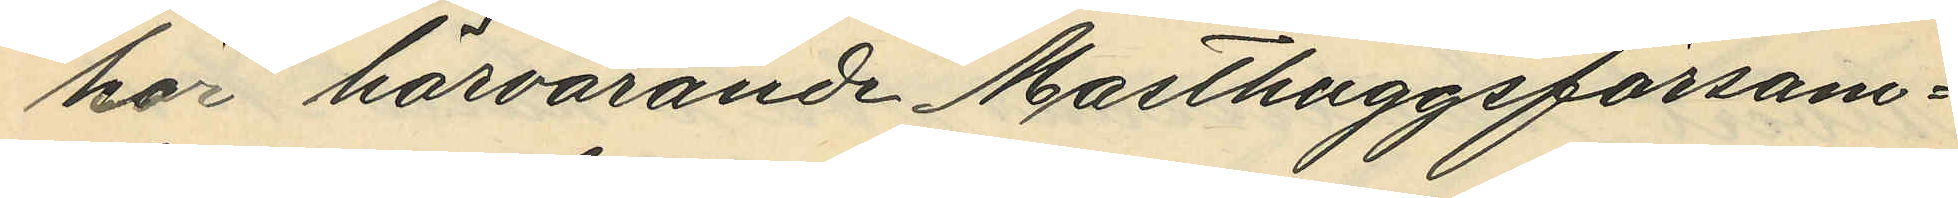hör härvarande Masthuggsförsam¬
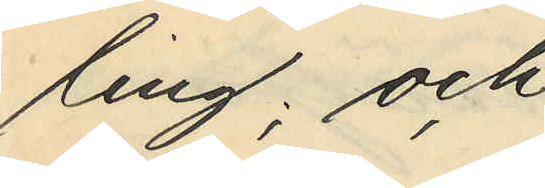ling; och
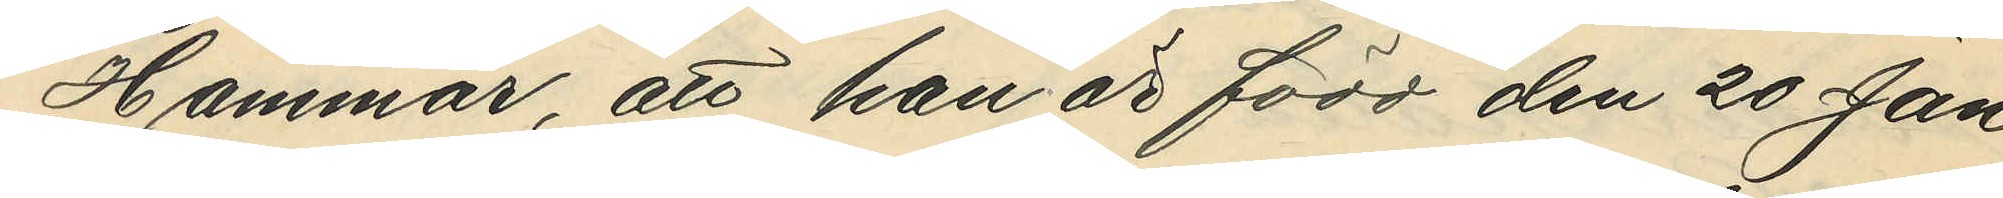Hammar, att han är född den 20 Jan
